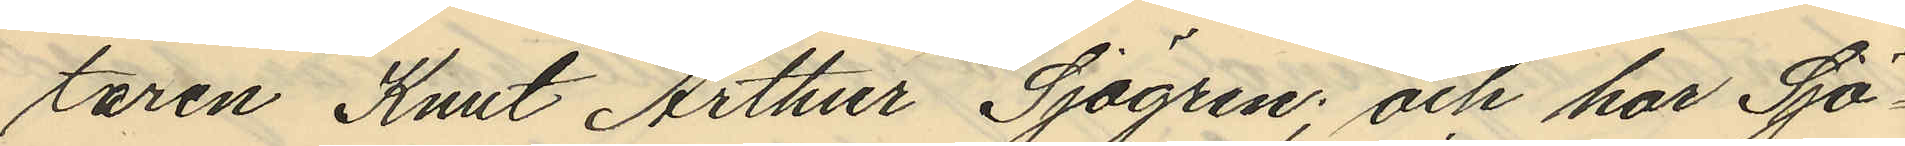taren Knut Arthur Sjögren; och har Sjö¬
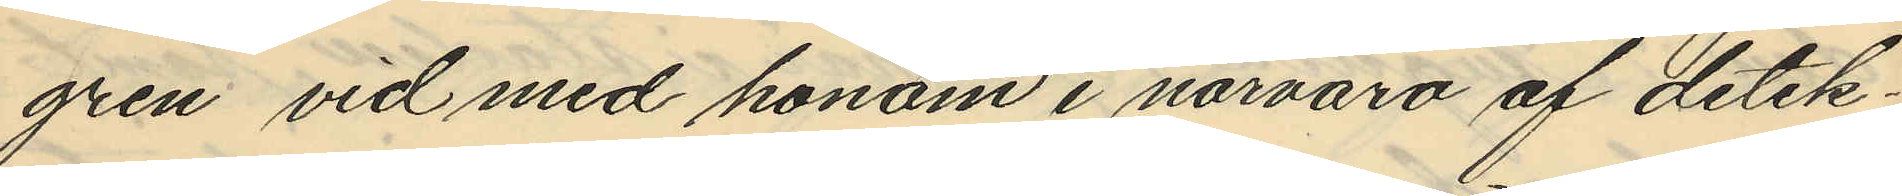gren vid med honom i närvaro af detek¬
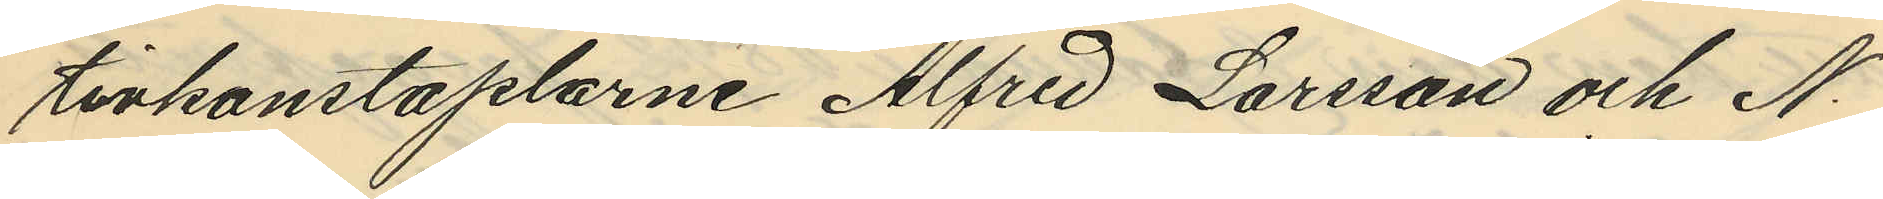tivkonstaplarne Alfred Larsson och N.
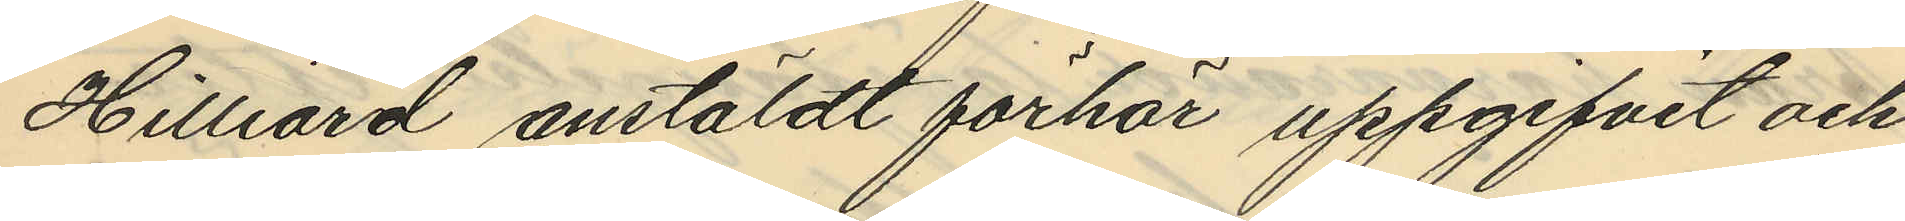Hilliard anstäldt förhör uppgifvit och
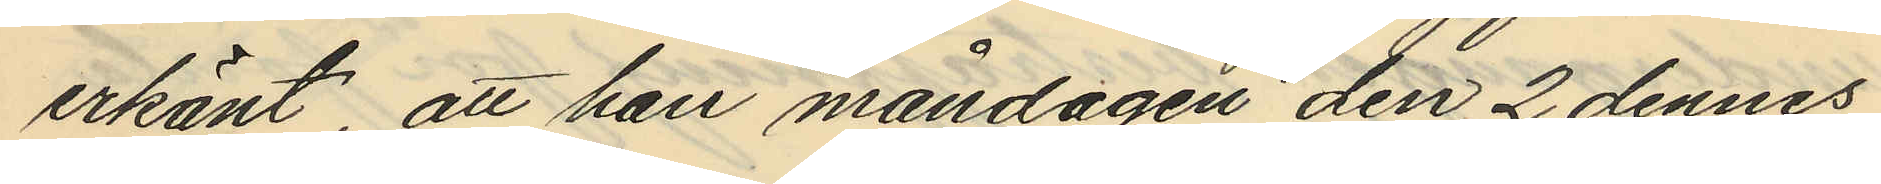erkänt, att han måndagen den 2 dennes
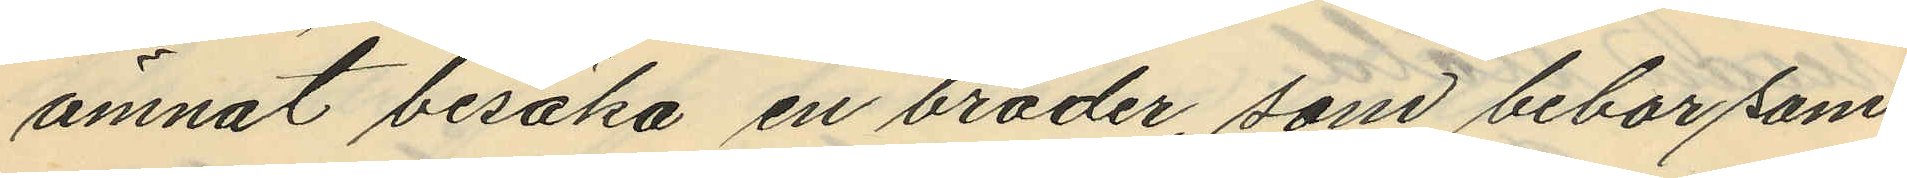ämnat besöka en broder, som bebor sam¬
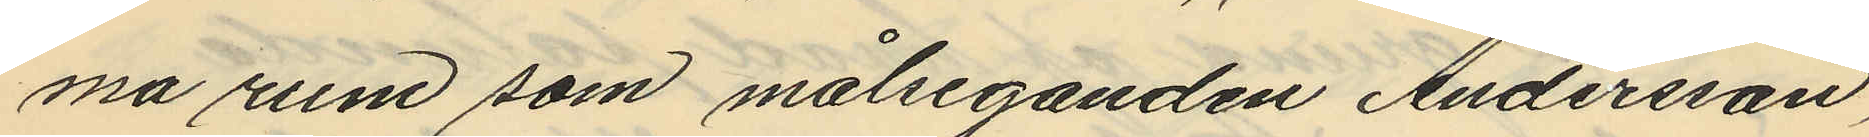ma rum som målseganden Andersson,
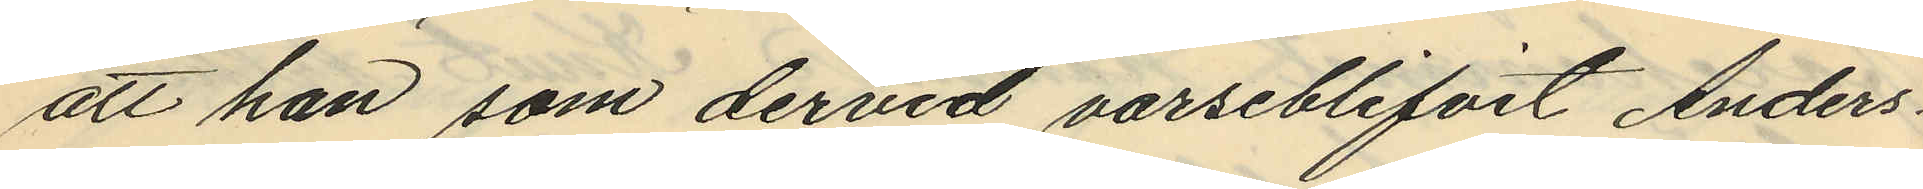att han som dervid varseblifvit Anders¬
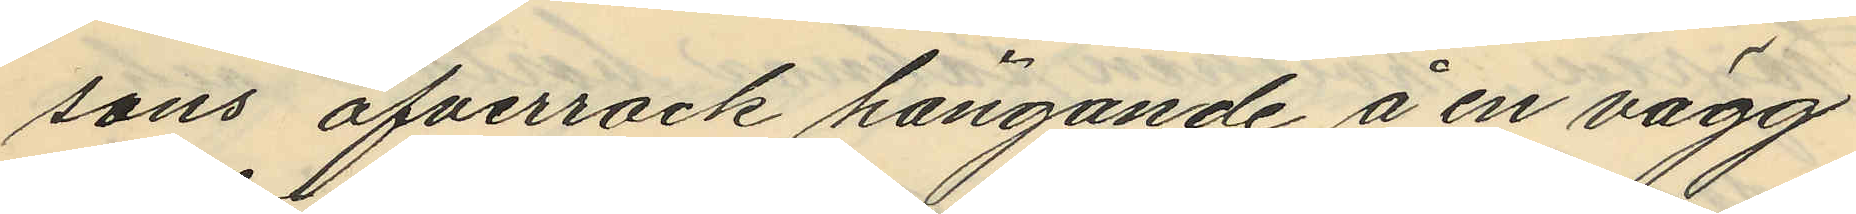sons öfverrock hängande å en vägg
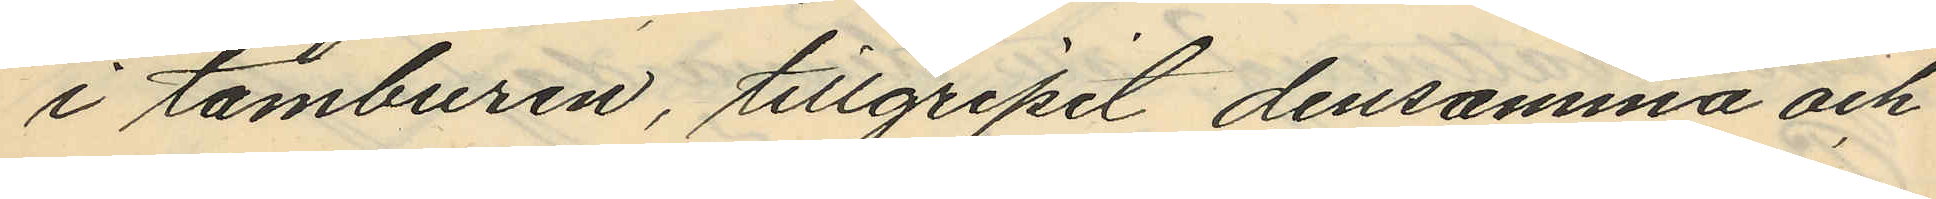i tamburen, tillgripit densamma och
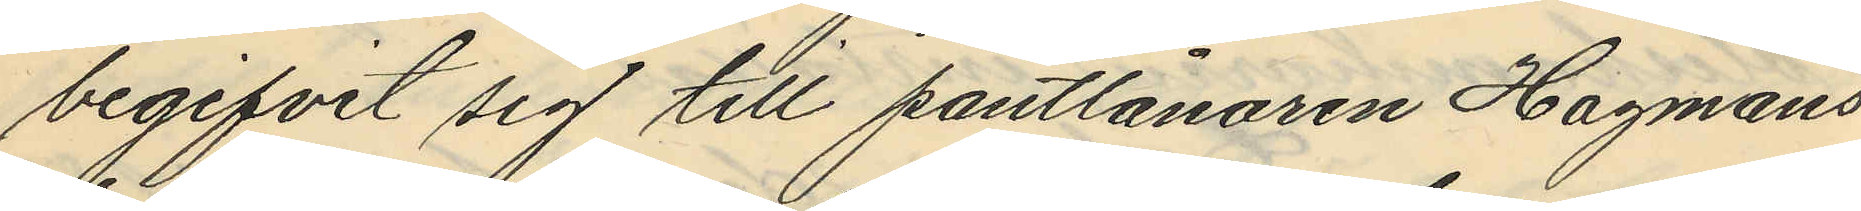begifvit sig till pantlånaren Hagmans
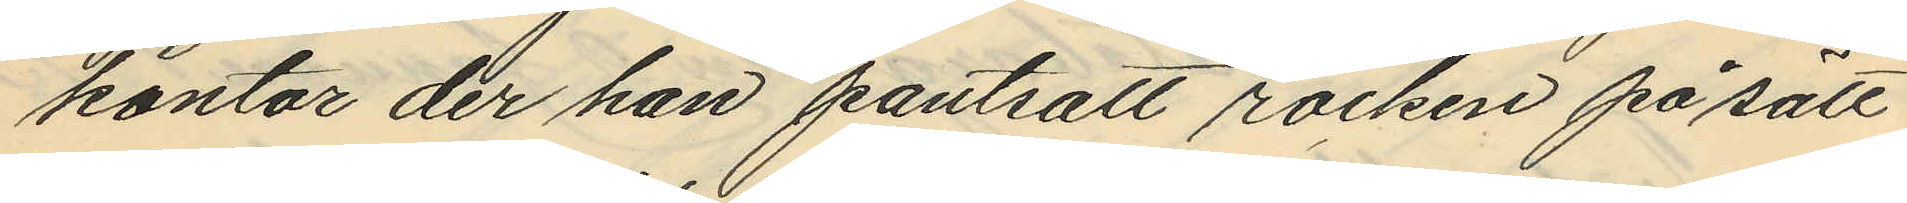kontor der han pantsatt rocken på sätt
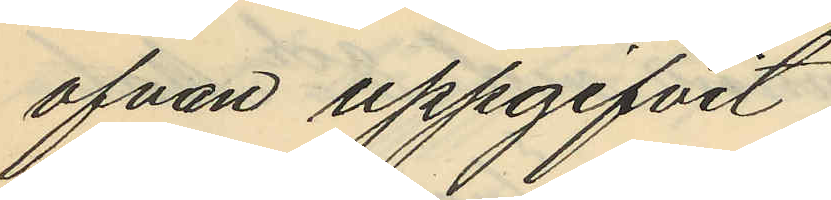ofvan uppgifvit,
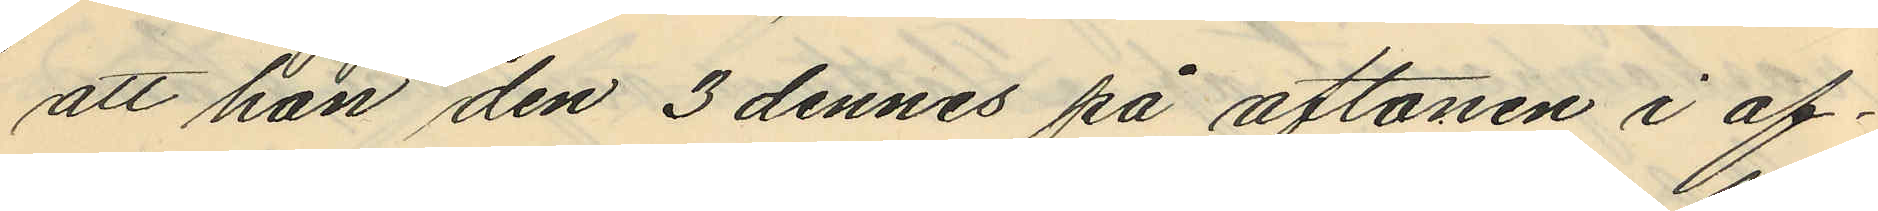att han den 3 dennes på aftonen i af¬
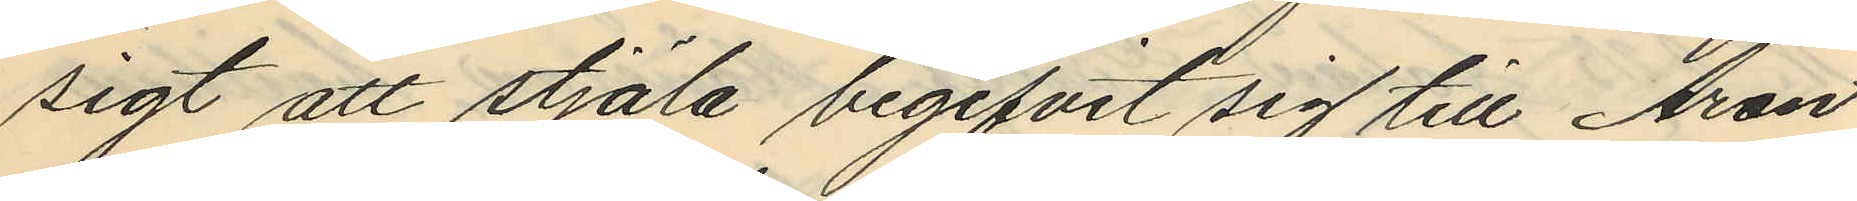sigt att stjäla begifvit sig till Aron
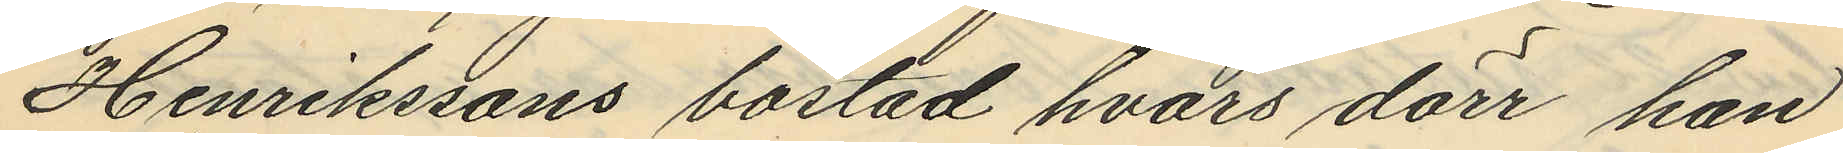Henrikssons bostad hvars dörr han
